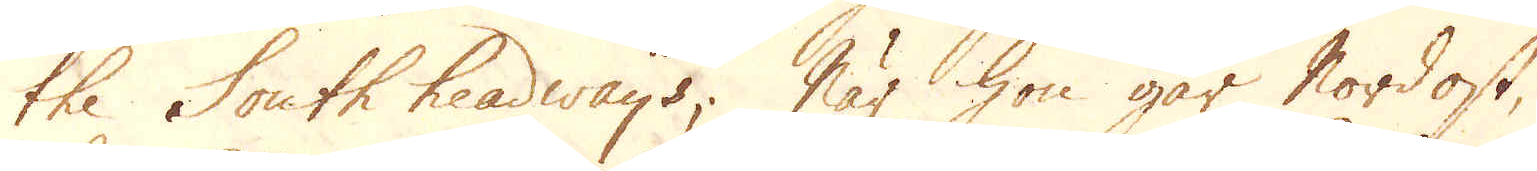the South headways; När hon går Nordost,
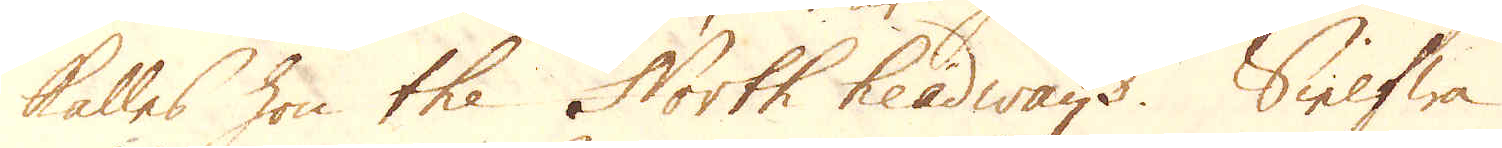kalles hon the North headways. Sielfwa
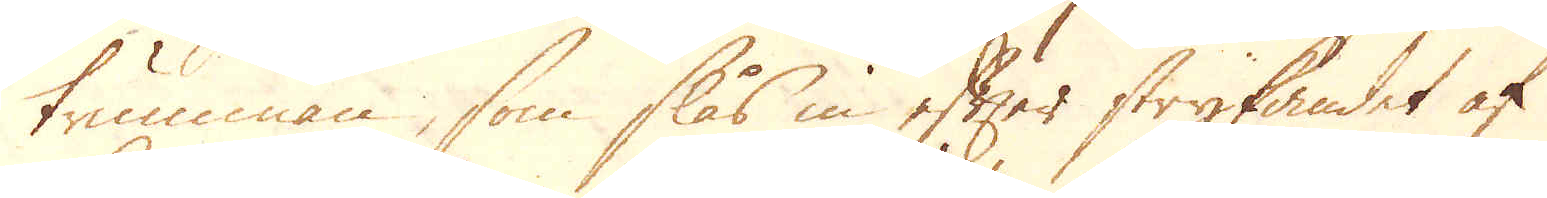trumman, som slås in efter strykandet af
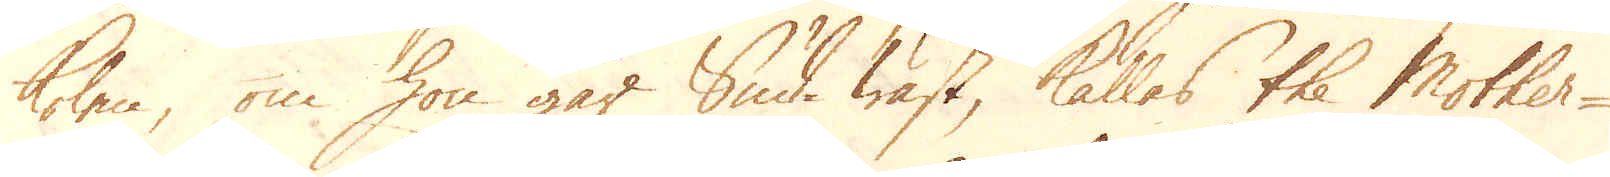kolen, om hon går Sud-wäst, kalles the Mother-
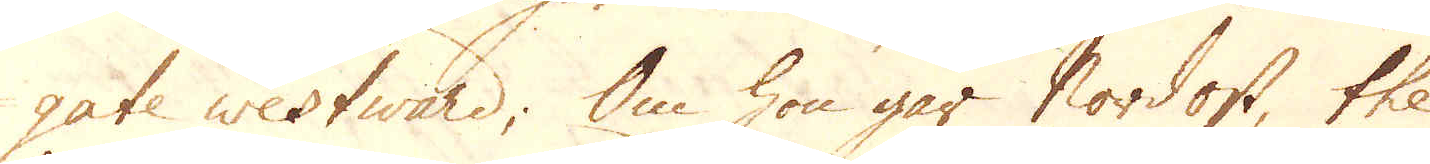gate westward; Om hon går Nordost, the
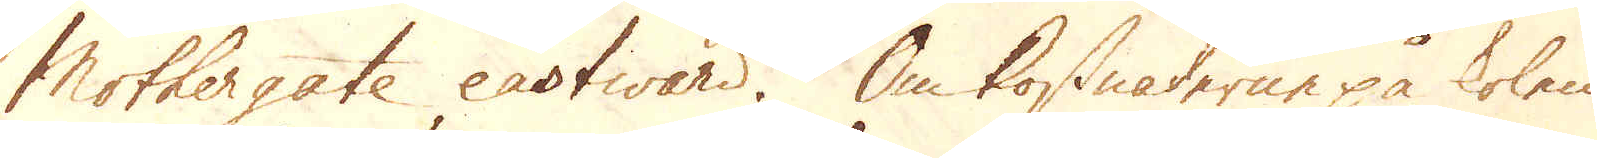Mothergate eastward. Om kostnaderne på kolen
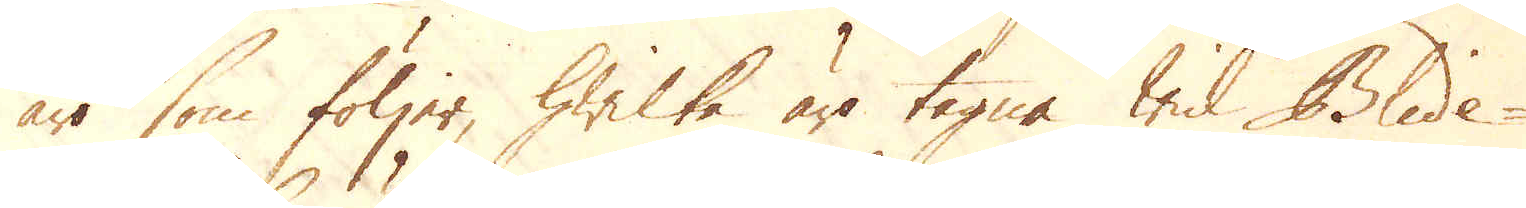äro som följer, hwilke äro tagne wid Blide-
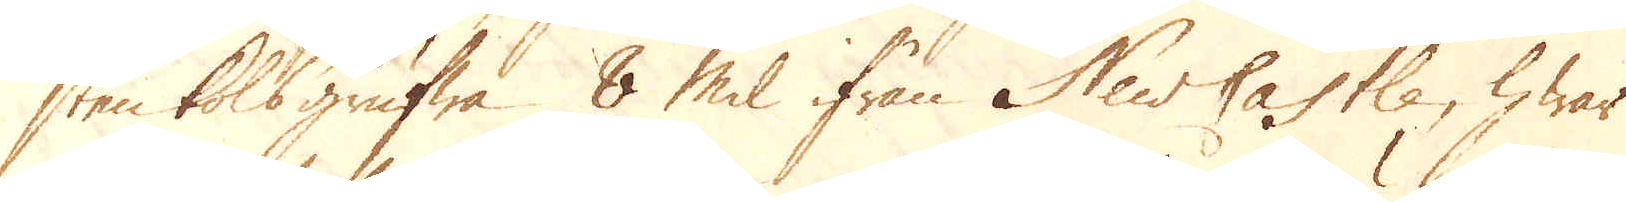sten kolsgrufwa 8 mil ifrån NewCastle, hwar
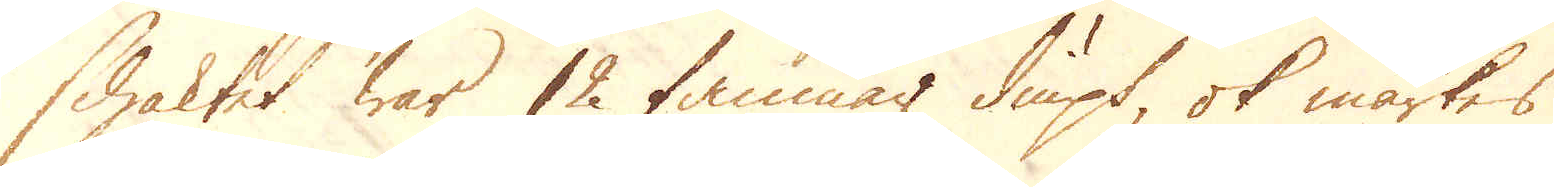schaktet war 12 famnar diupt, ok märkes
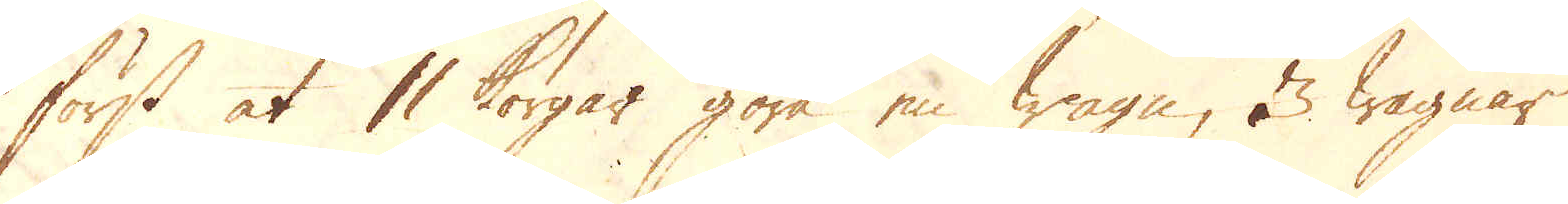först at 11 korgar göra en wagn, 3 wagnar
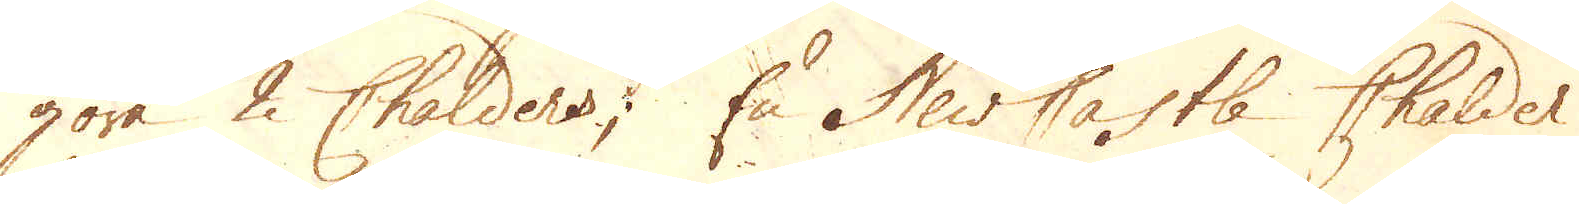göra 2 Chalders; En NewCastle Chalder
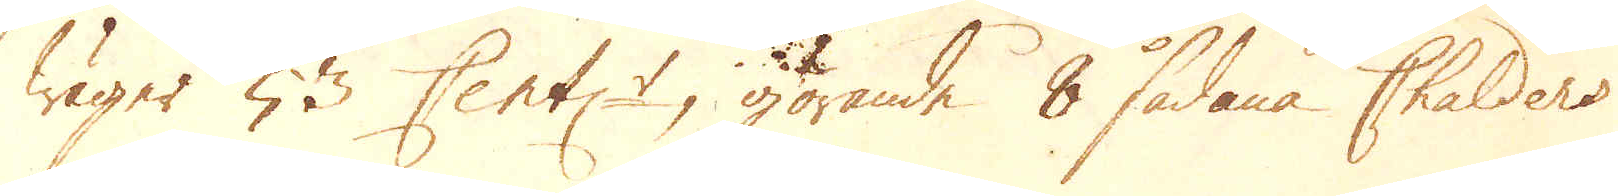wäger 53 Cent:r, görande 8 sådane Chalders
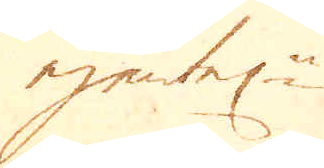egentel:n
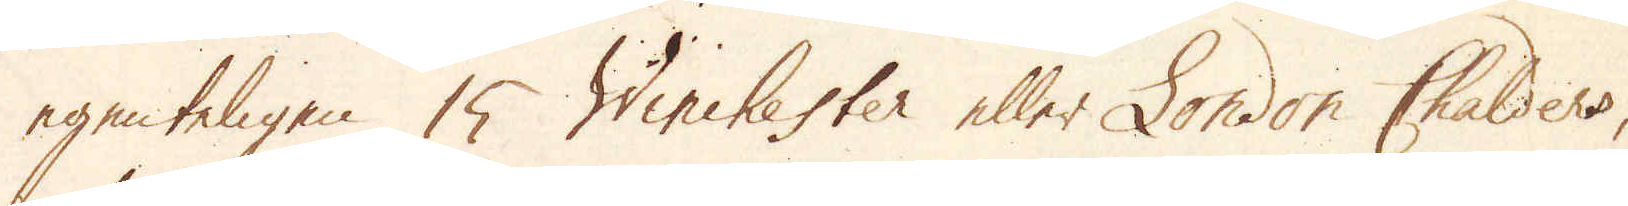egenteligen 15 Winchester eller London Chalders,
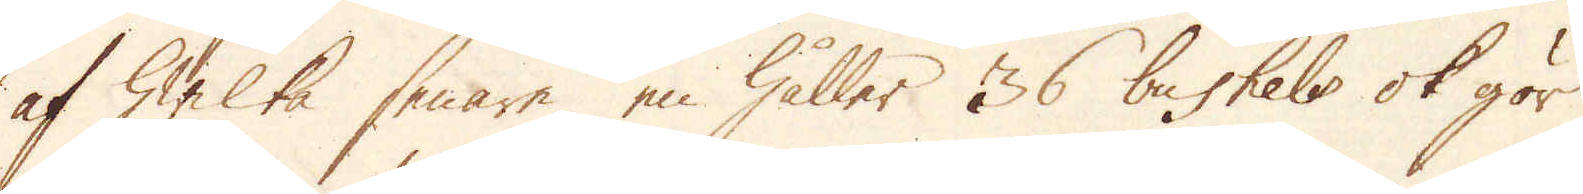af hwilka senare en håller 36 baskets ok gör
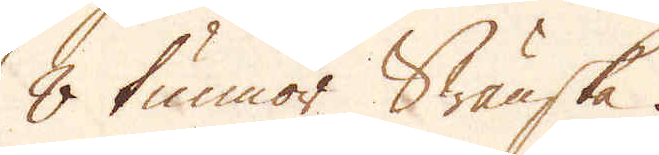8 tunnor Swänske.
